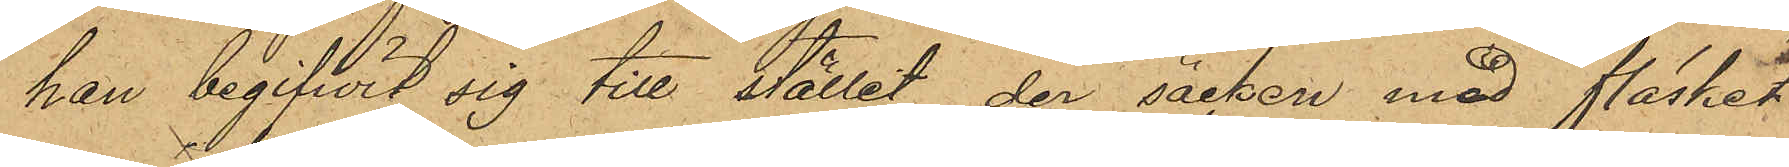han begifwit sig till stället, der säcken med fläsket
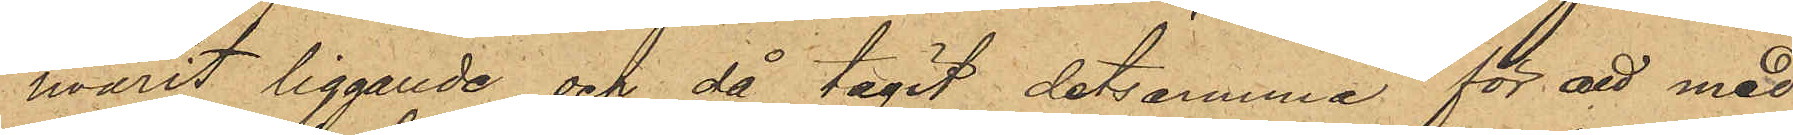warit liggande och då tagit detsamma för att med¬
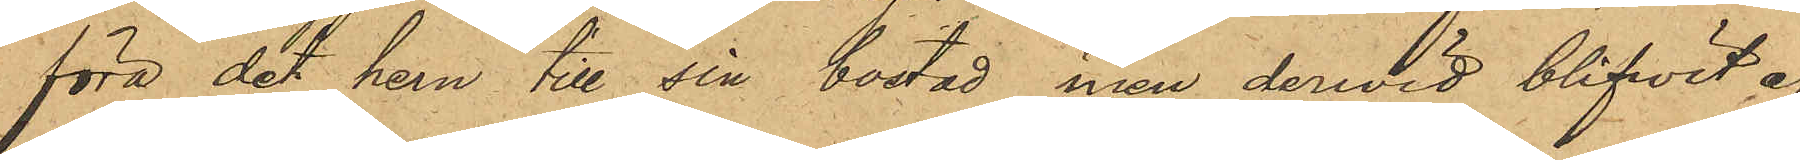föra det hem till sin bostad men derwid blifwit af
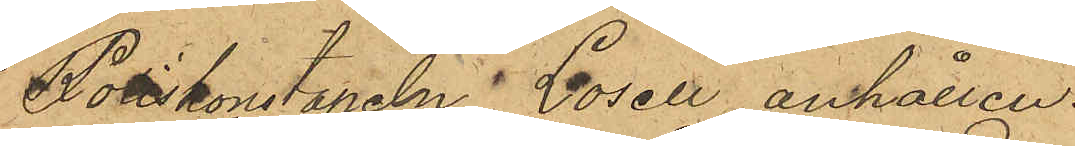Poliskonstapeln Losell anhållen.
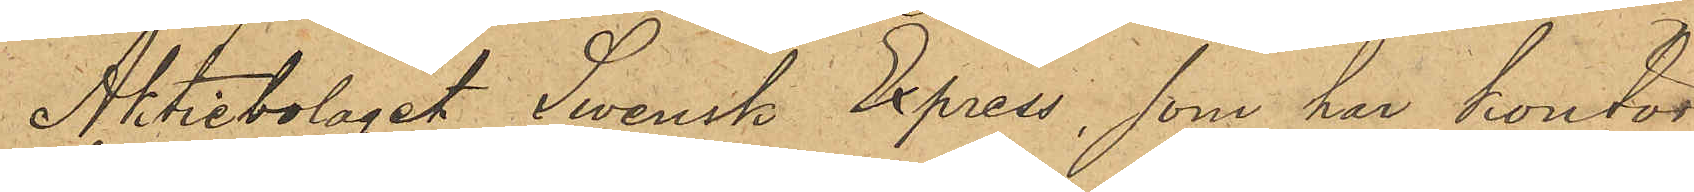Aktiebolaget Swensk Express, som har kontor
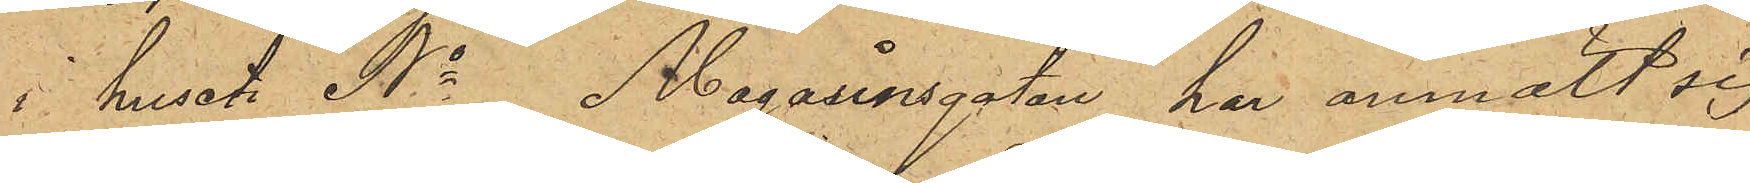i huset No Magasinsgatan, har anmält sig
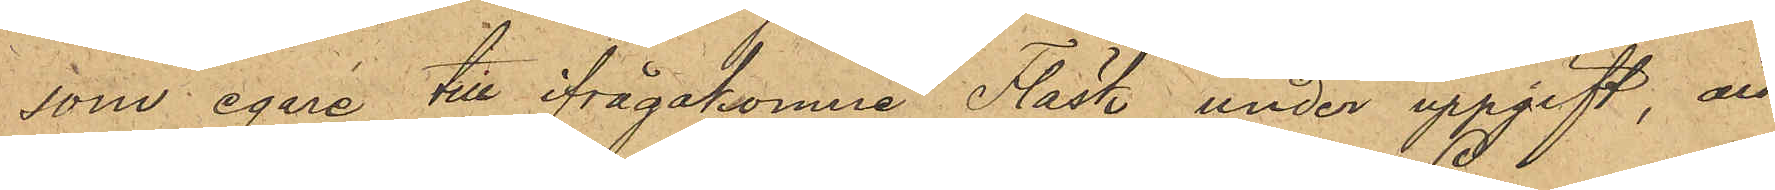som egare till ifrågakomne Fläsk under uppgift, att
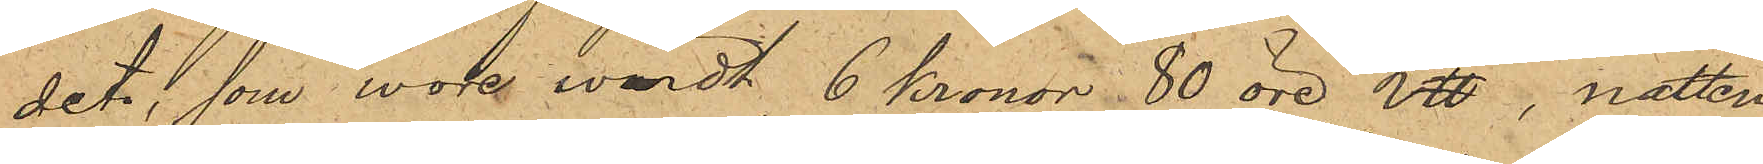det, som wore värdt 6 Kronor 80 öre L℔, natten
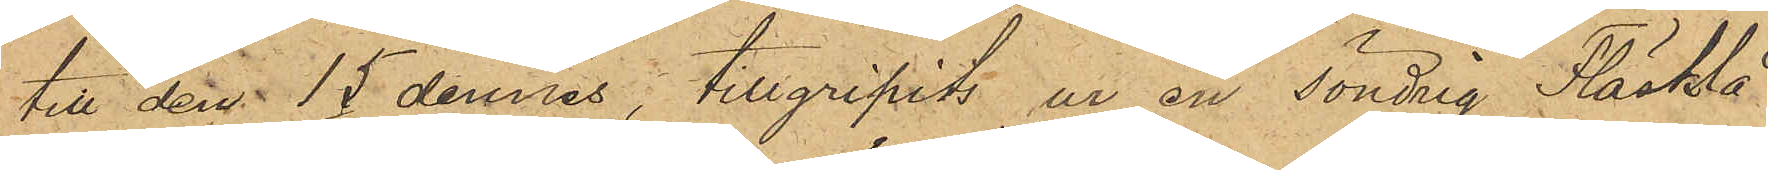till den 15 dennes, tillgripits ur en Söndrig Fläsklå¬
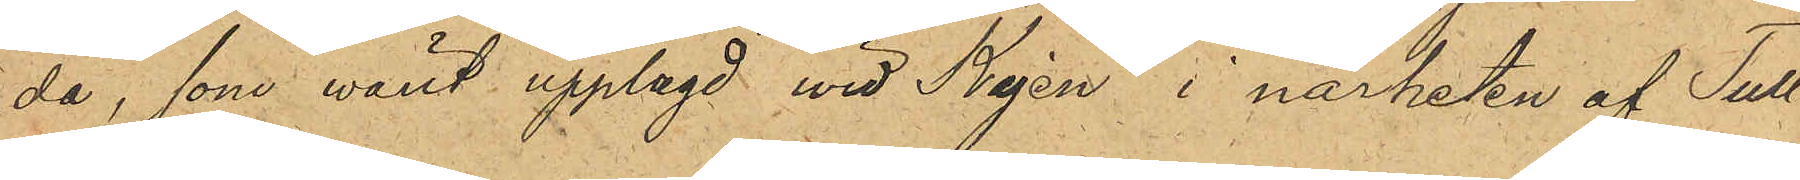da, som warit upplagd wid Kajen, i närheten af Tull¬
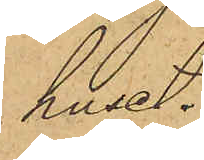huset.
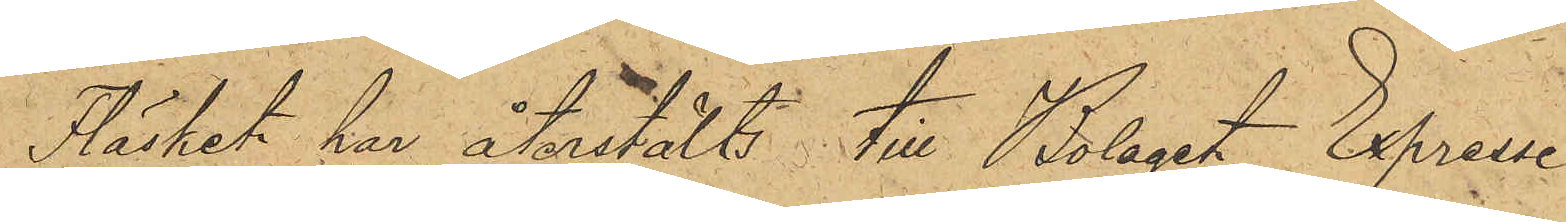Fläsket har återstälts till Bolaget Expresse.
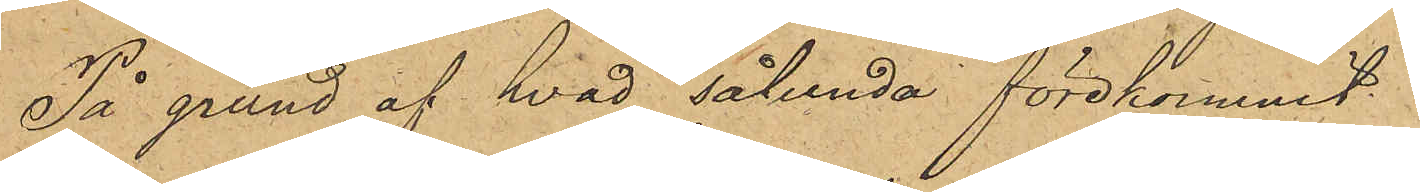På grund af hvad sålunda förekommit.
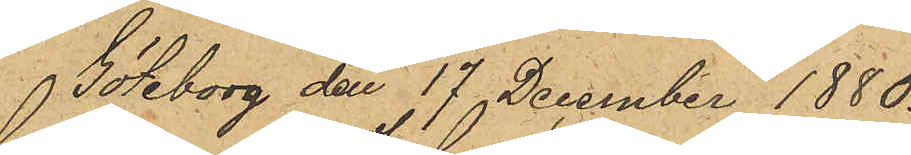Göteborg den 17 December 1880.
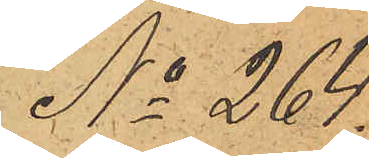No 264.
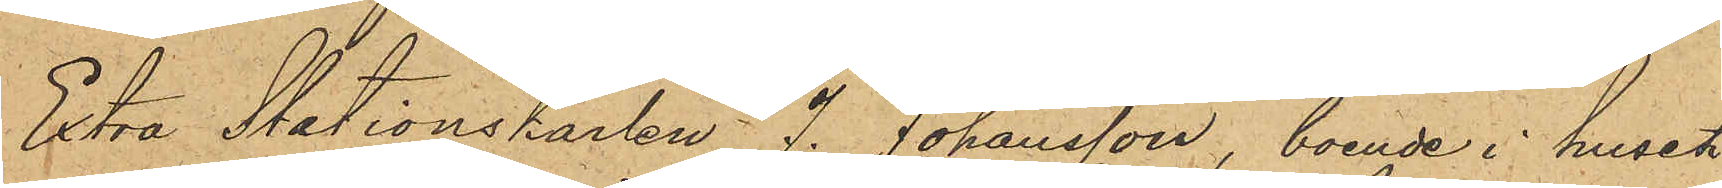Extra Stationskarlen J. Johansson, boende i huset
